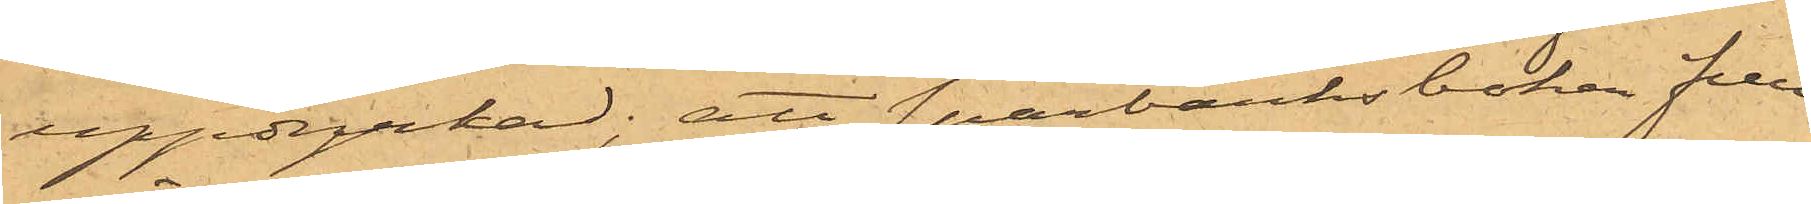uppdyrkad; att sparbanksboken fun¬
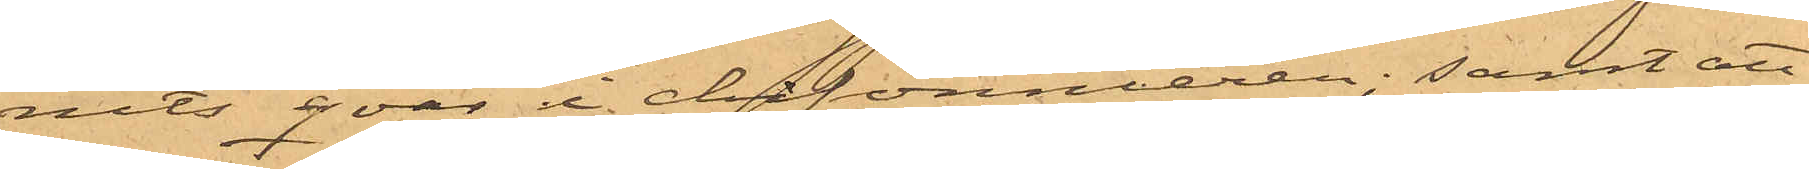nits qvar i chifonnieren; samt att
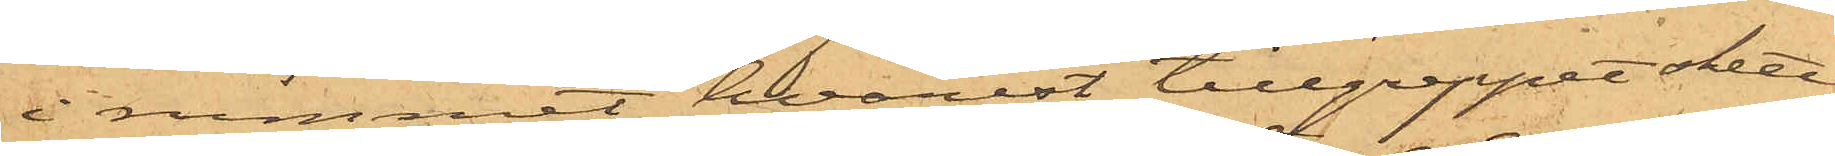i rummet, hvarest tillgreppet skett,
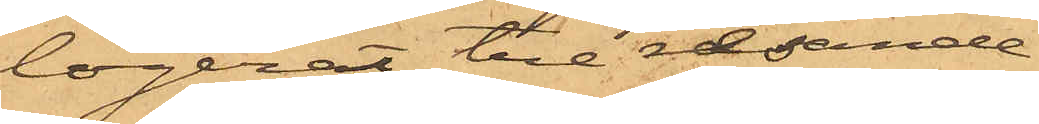logerat tre resande.
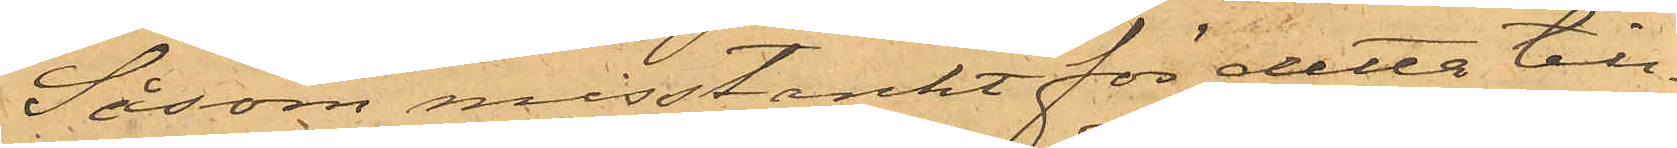Såsom misstänkt för detta till¬
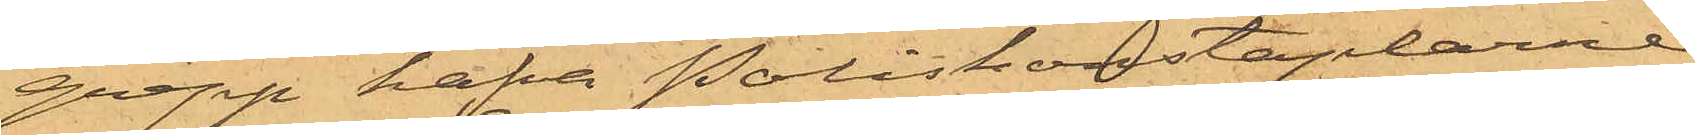grepp hafva Poliskonstaplarne
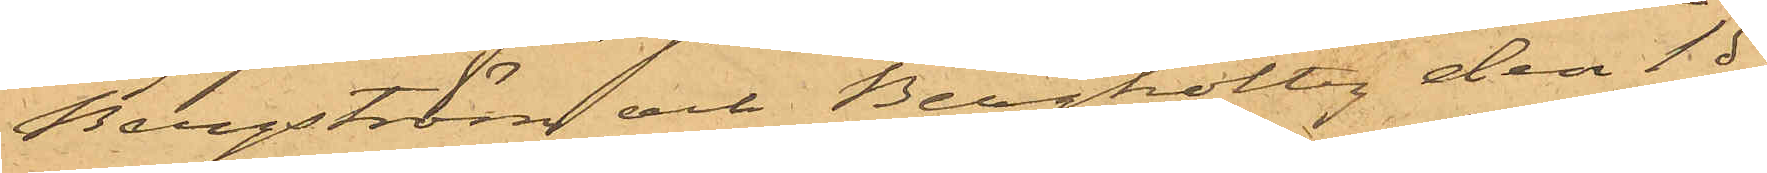Bergström och Bergholtz den 1 ds
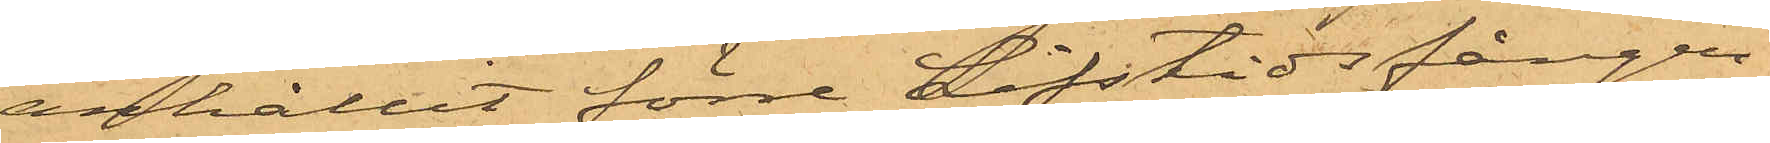anhållit förre Lifstidsfången
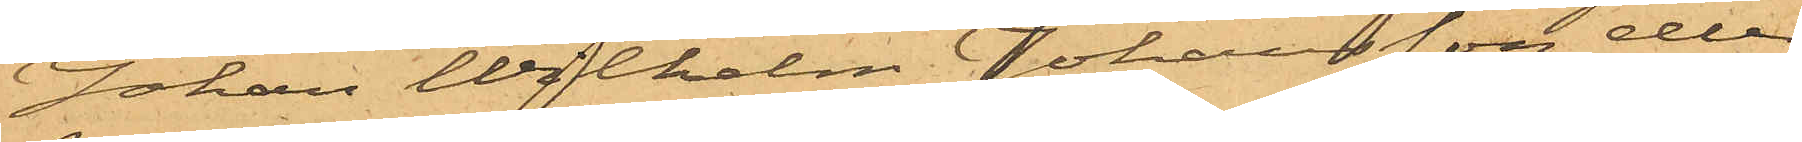Johan Wilhelm Johansson eller
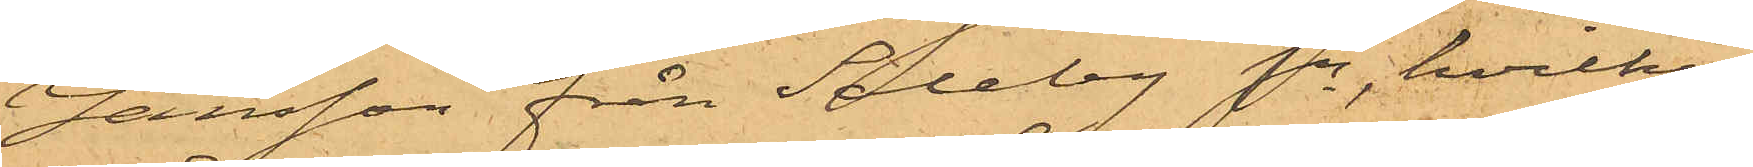Jansson från Saleby Sn, hvilken
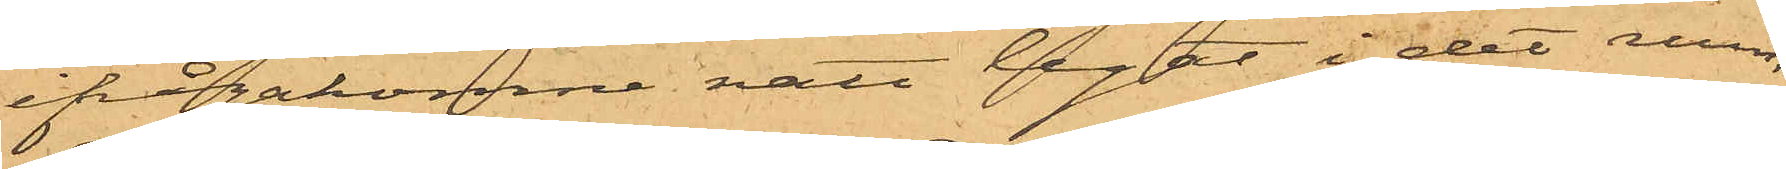ifrågakomne natt legat i det rum,
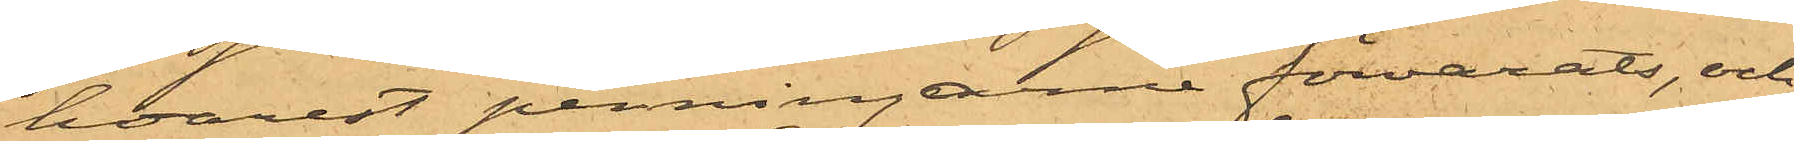hvarest penningarne förvarats, och
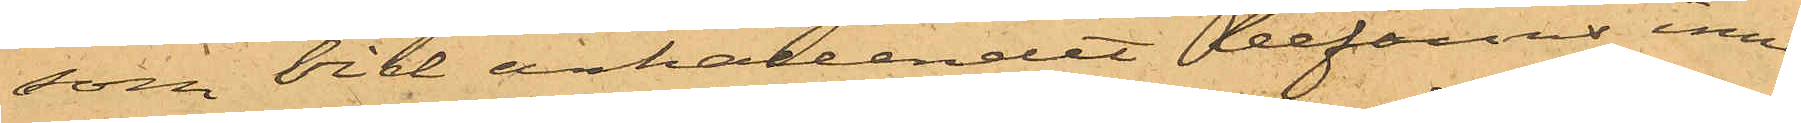som vid erhållandet befanns inne¬
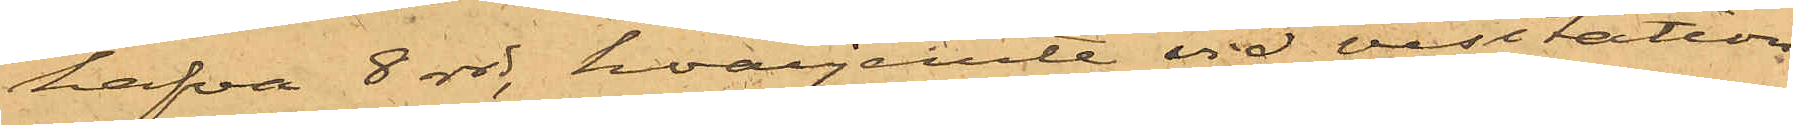hafva 8 rdr, hvarjemte vid visitation
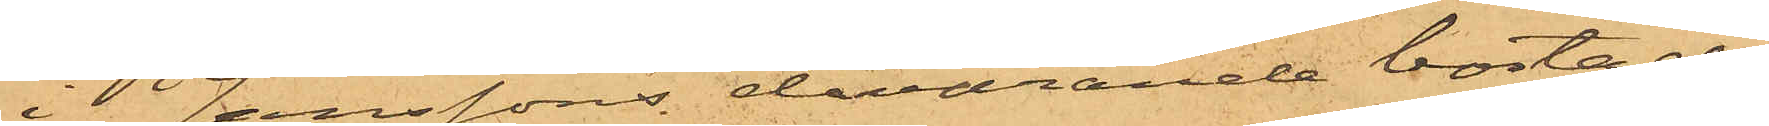i Janssons dåvarande bostad i
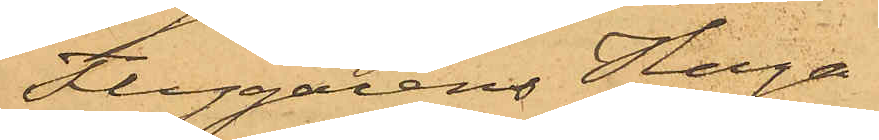Flygarens Haga
